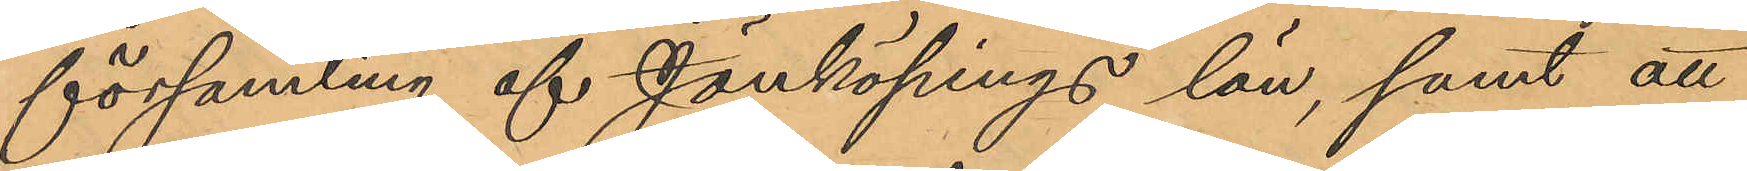församling af Jönköpings län, samt att
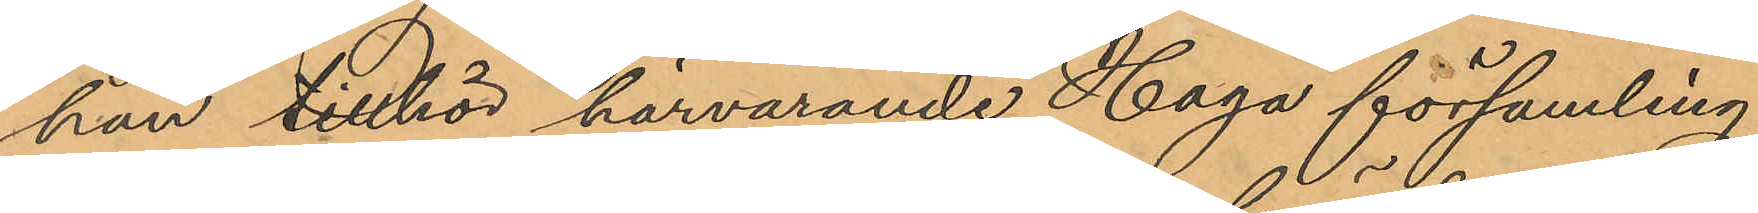han tillhör härvarande Haga församling.
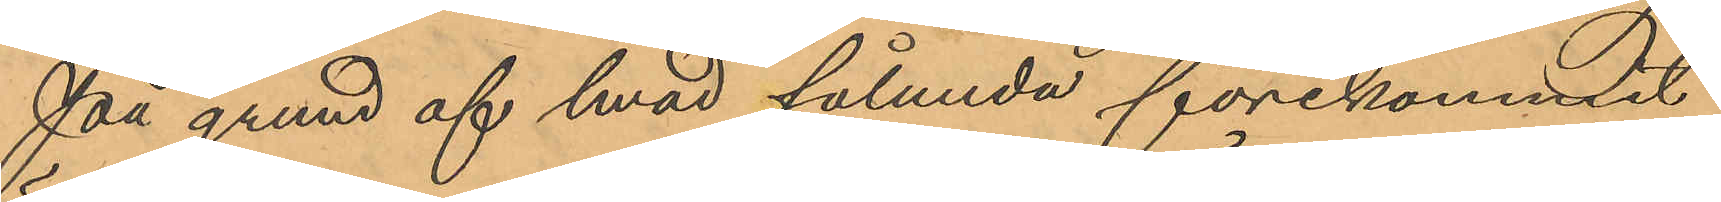På grund af hvad sålunda förekommit
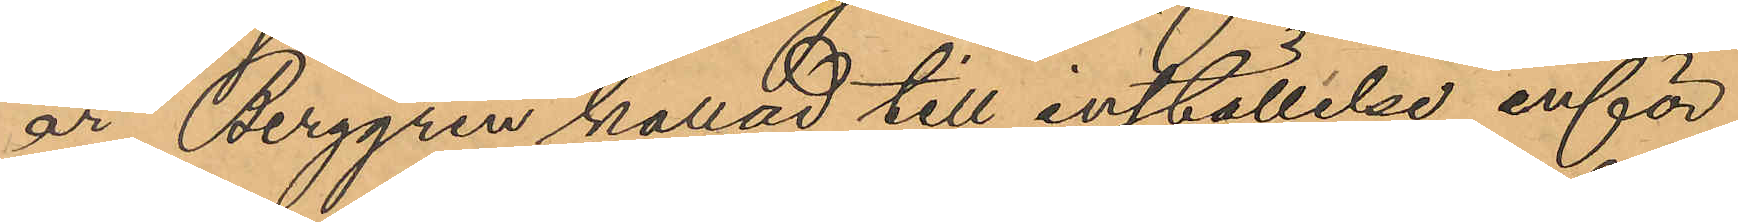är Berggren kallad till inställelse inför
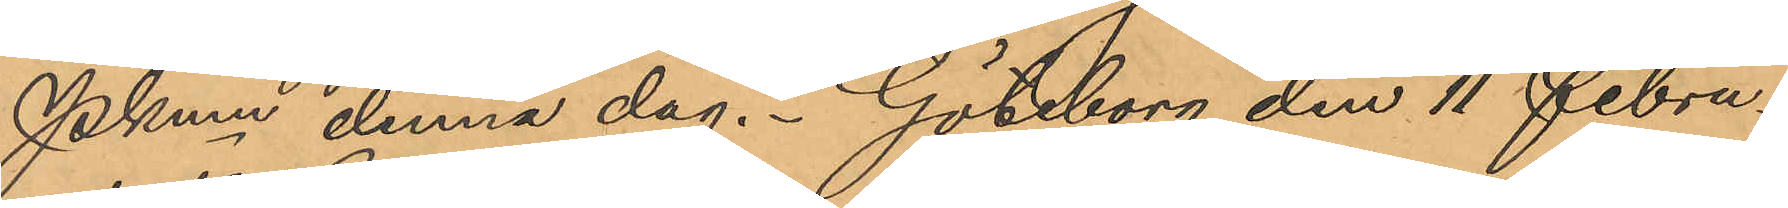Pkmn denna dag. Göteborg den 11 Febru¬
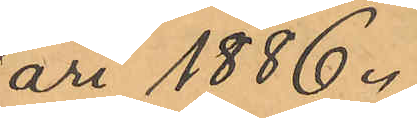ari 1886.
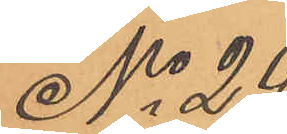No 29
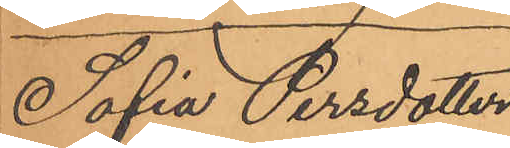Sofia Persdotter
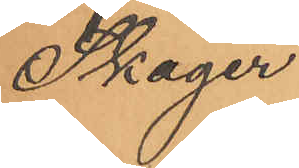Skager
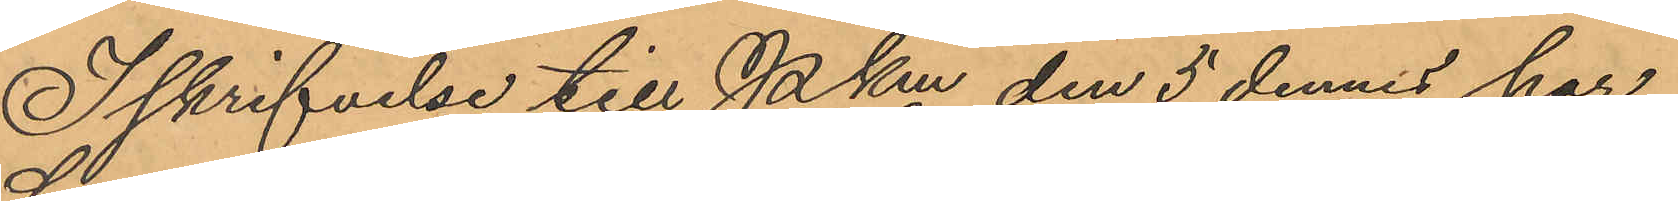I skrifvelse till PKm den 5 dennes har
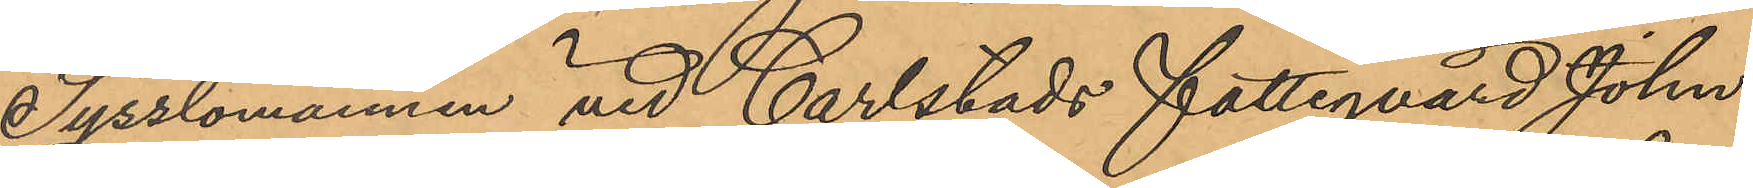Sysslomannen vid Carlstads Fattigvård John
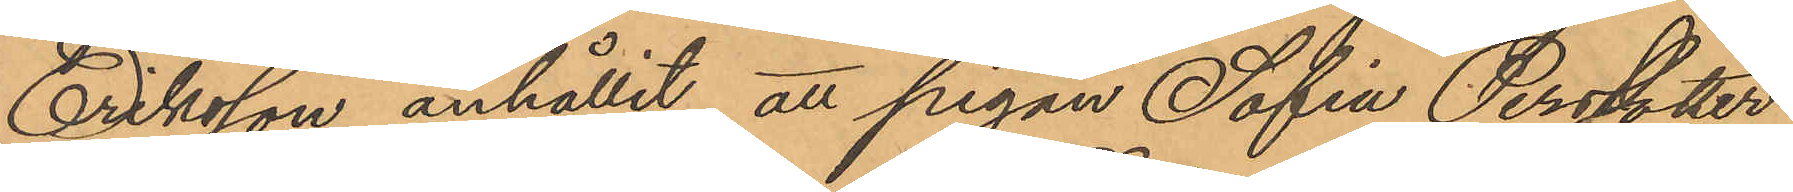Eriksson anhållit, att pigan Sofia Persdotter
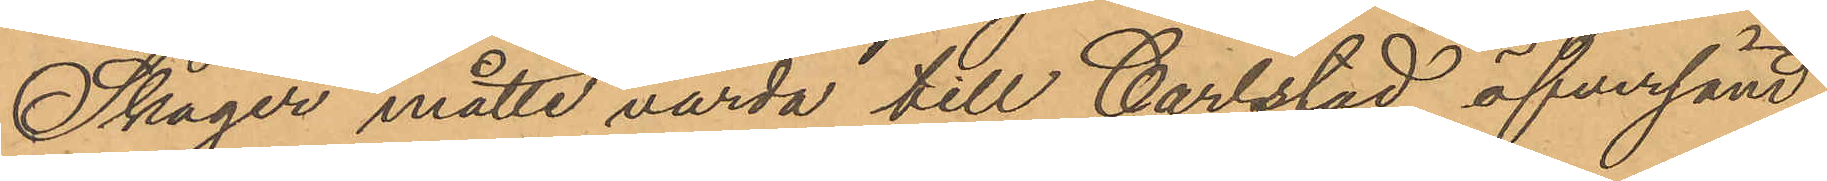Skager måtte varda till Carlstad öfversänd
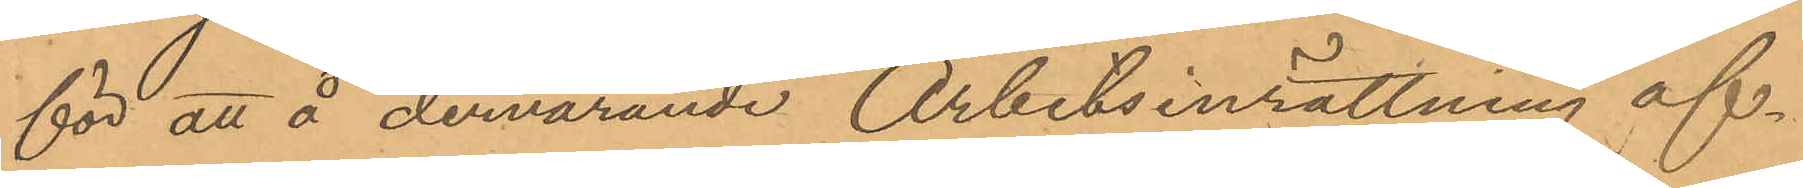för att å dervarande Arbetsinrättning af¬
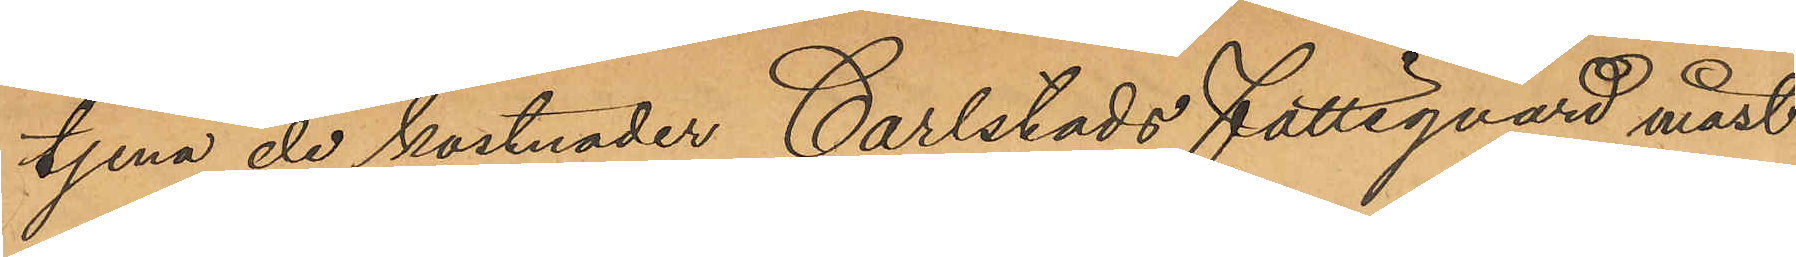tjena de kostnader Carlstads Fattigvård måst
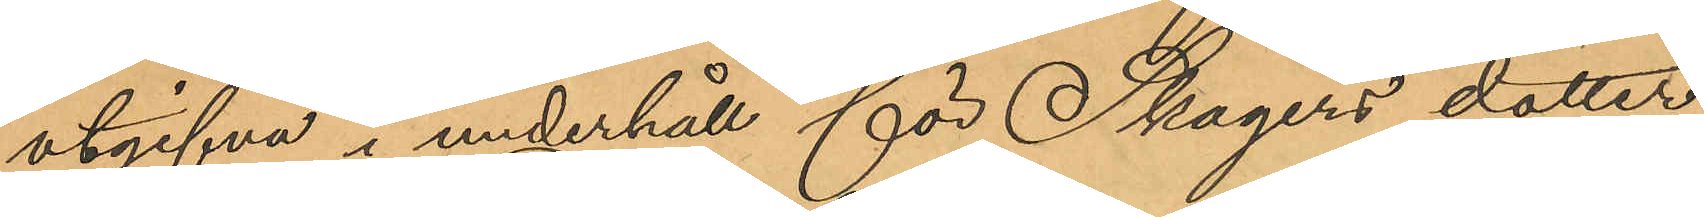utgifva i underhåll för Skagers dotter
